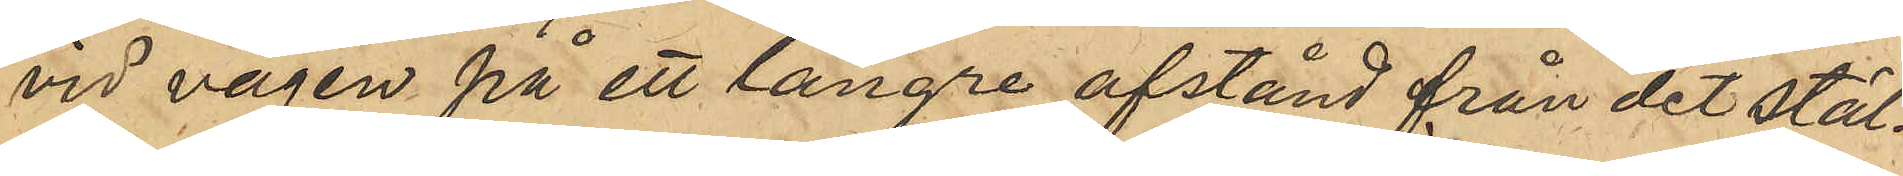vid vägen på ett längre afstånd från det stäl¬
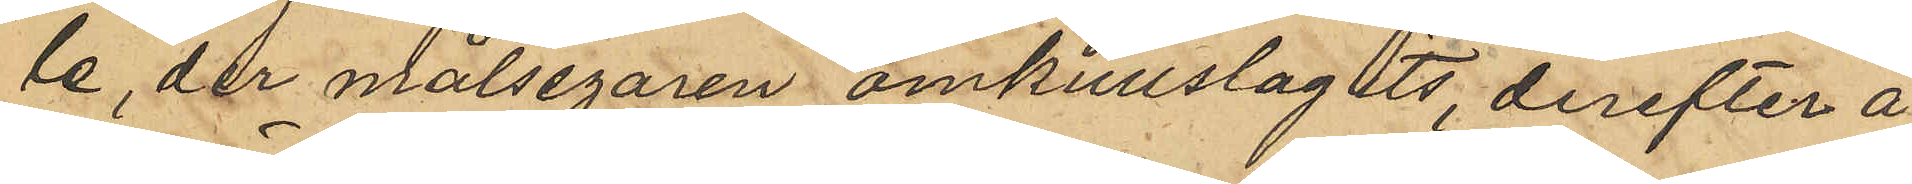le, der målsegaren omkullslagits derefter å¬
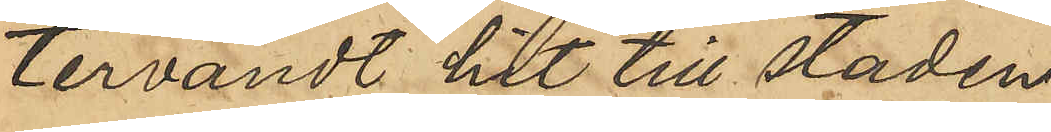tervändt hit till staden.
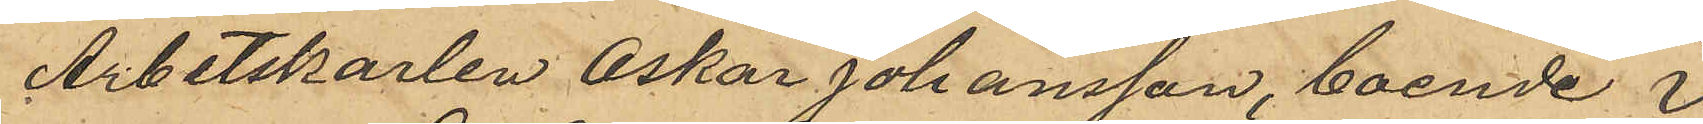Arbetskarlen Oskar Johansson, boende i
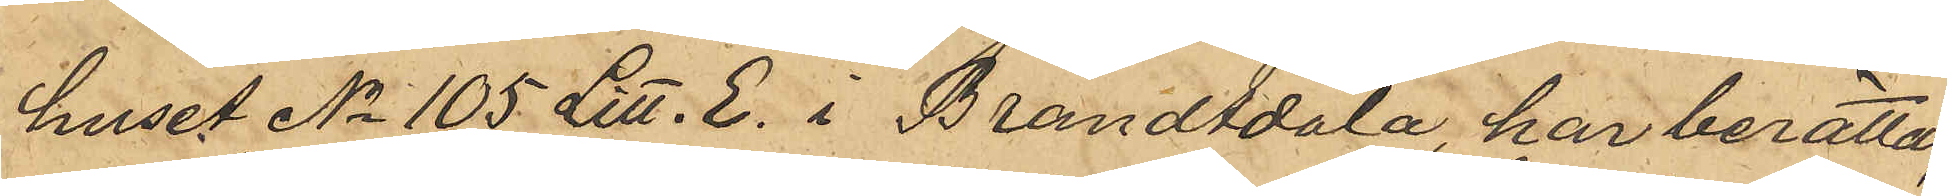huset No 105 Litt. E. i Brandtdala, har berättat,
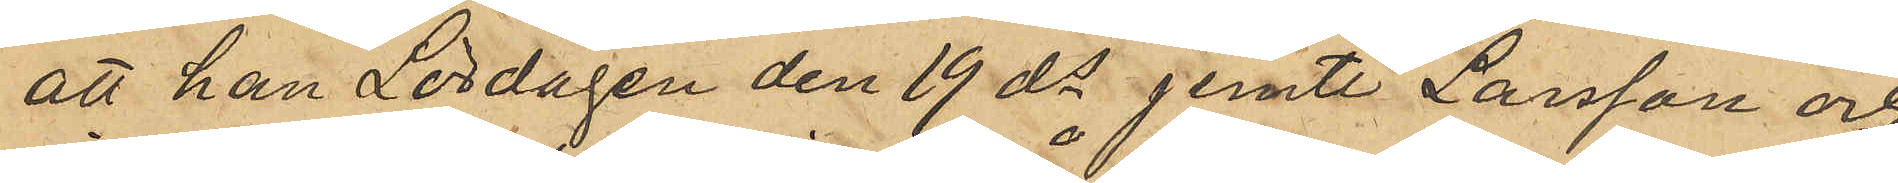att han Lördagen den 19 ds jemte Larsson och
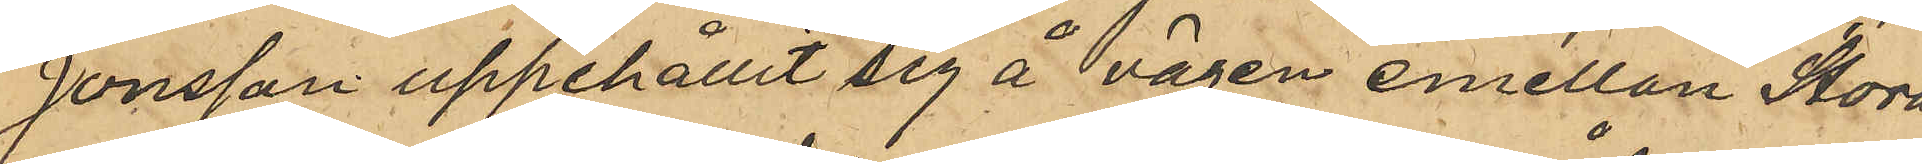Jonsson uppehållit sig å vägen emellan Stora
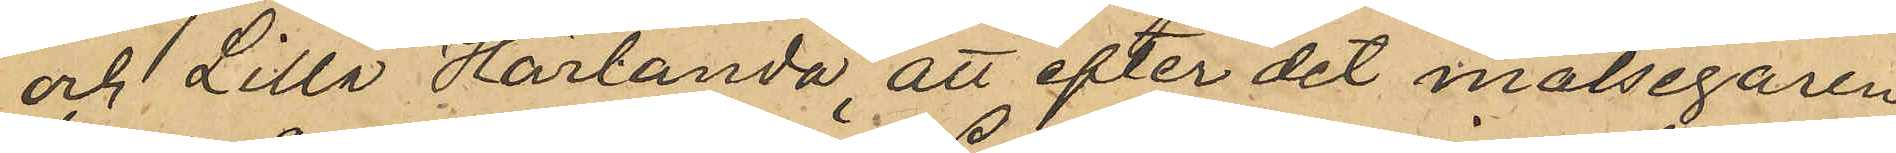och Lilla Härlanda, att efter det målsegaren
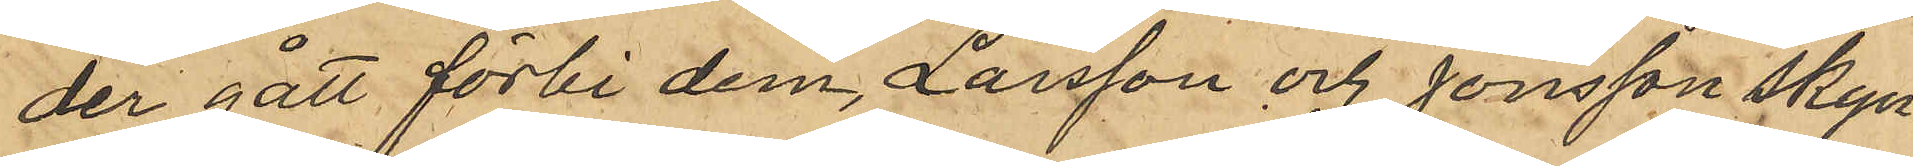der gått förbi dem, Larsson och Jonsson skyn¬
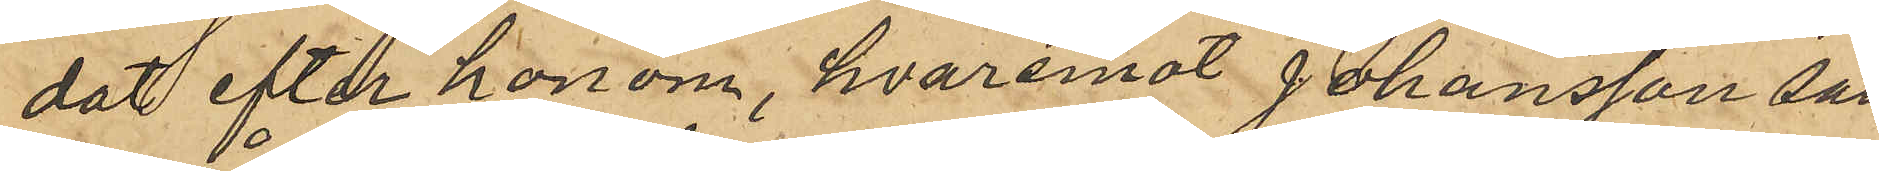dat efter honom, hvaremot Johansson satt
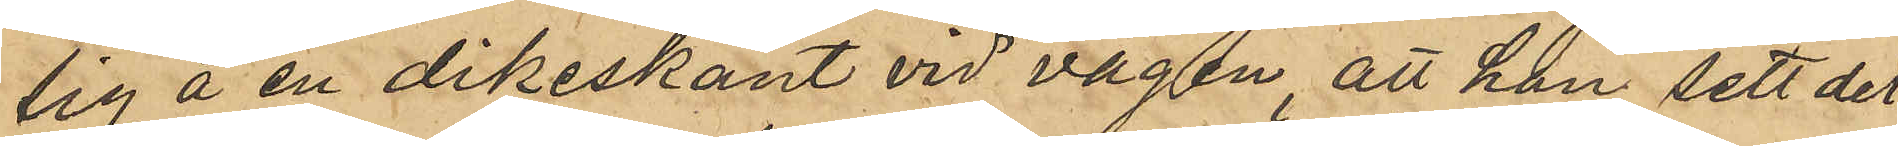sig å en dikeskant vid vägen, att han sett det
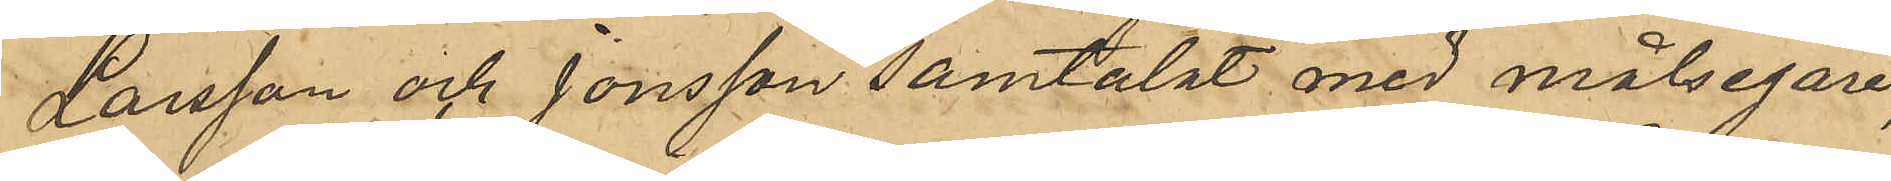Larsson och Jonsson samtalat med målsegaren,
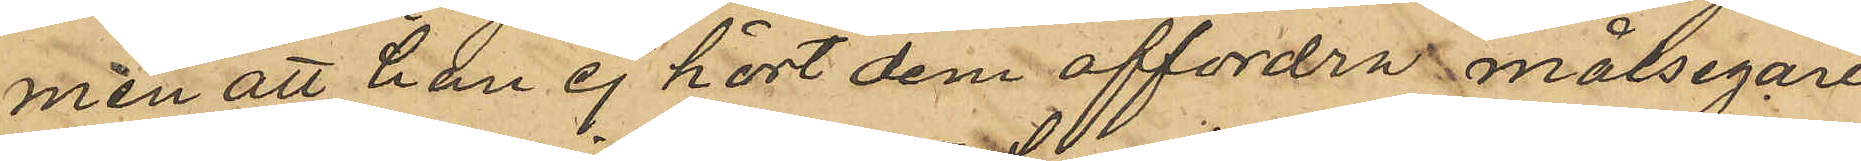men att han ej hört dem affordra målsegaren
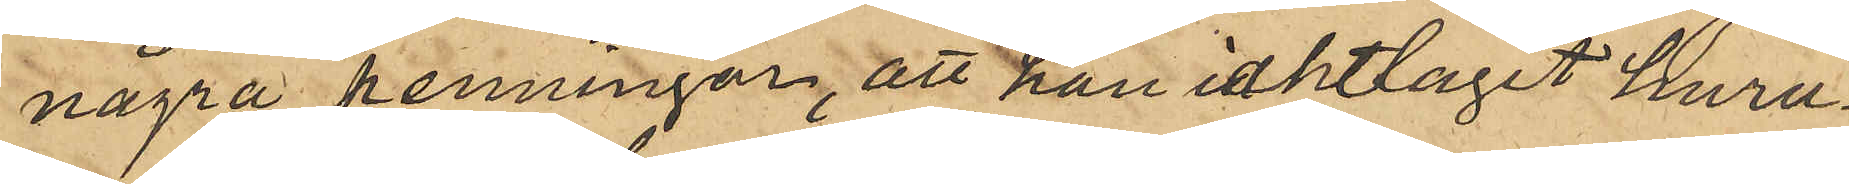några penningar, att han iakttagit huru¬
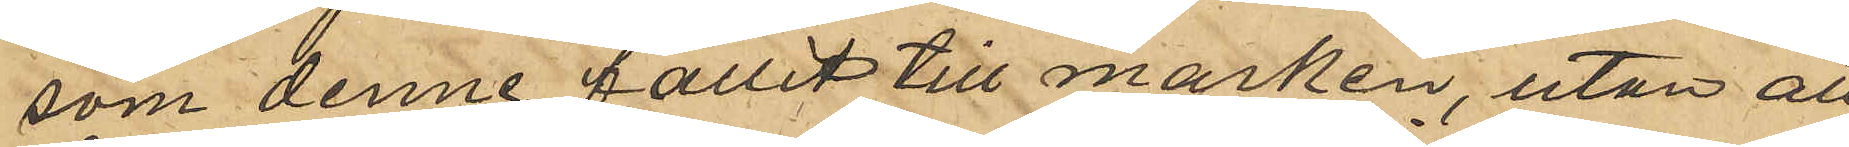som denne fallit till marken, utan att
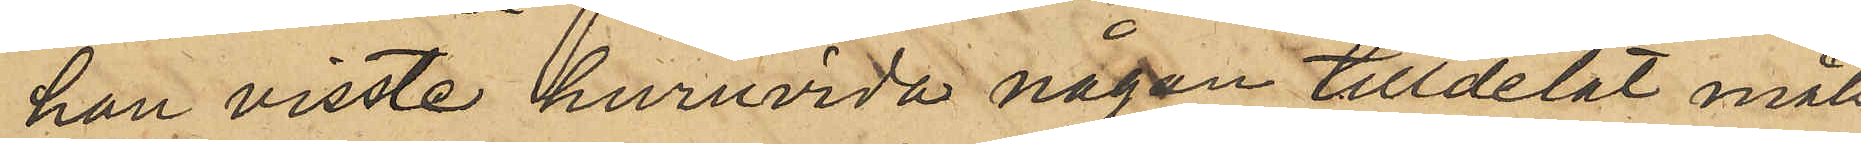han visste huruvida någon tilldelat måls¬
